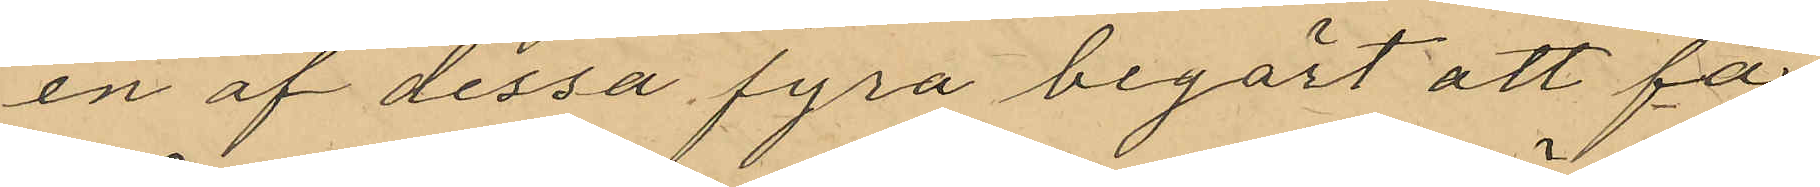en af dessa fyra begärt att få
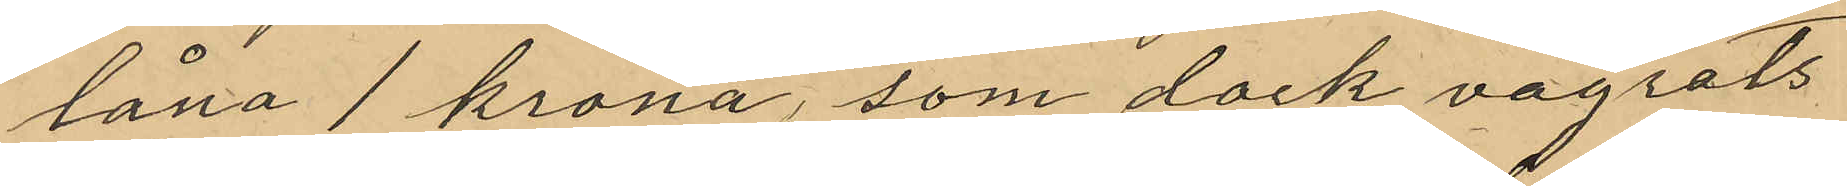låna 1 krona, som dock vägrats
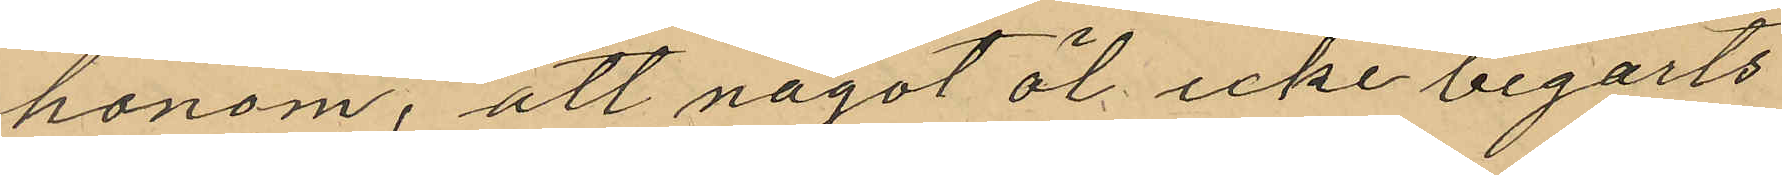honom, att något öl icke begärts
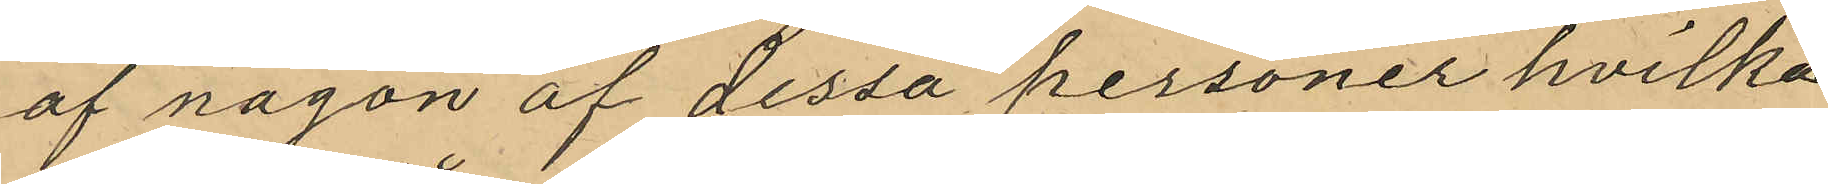af någon af dessa personer hvilka
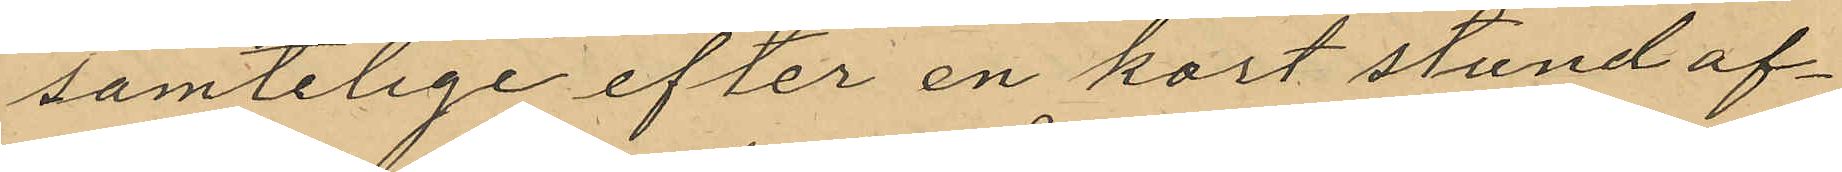samtelige efter en kort stund af¬
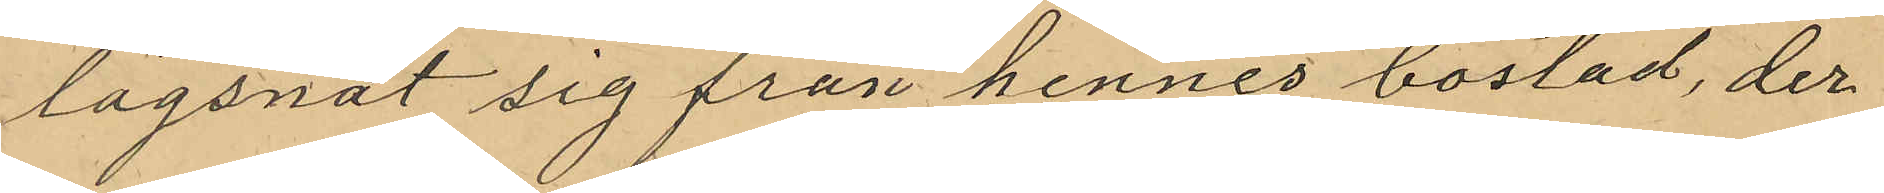lägsnat sig från hennes bostad, der
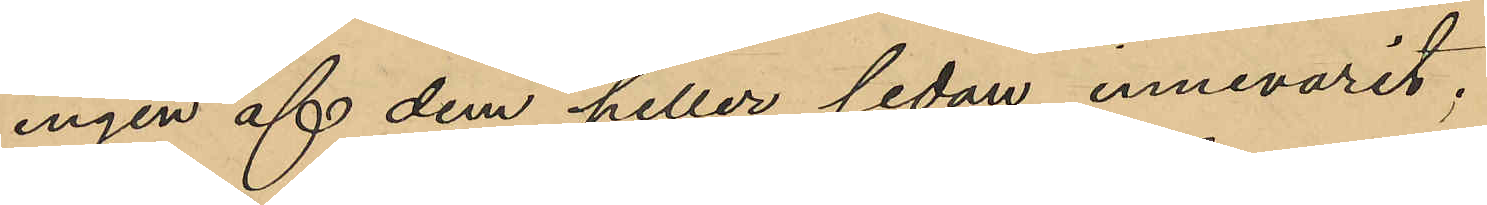ingen af dem heller sedan innevarit;
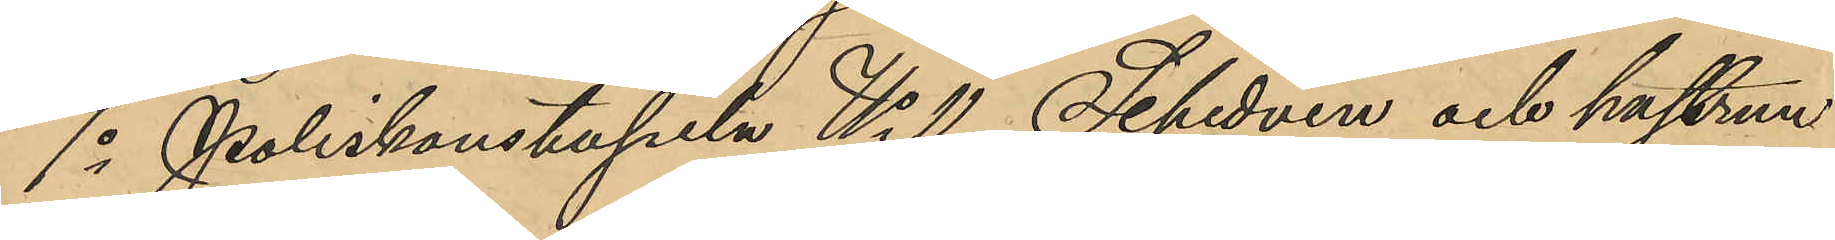7o Poliskonstapeln No 11 Schedvin och hustrun
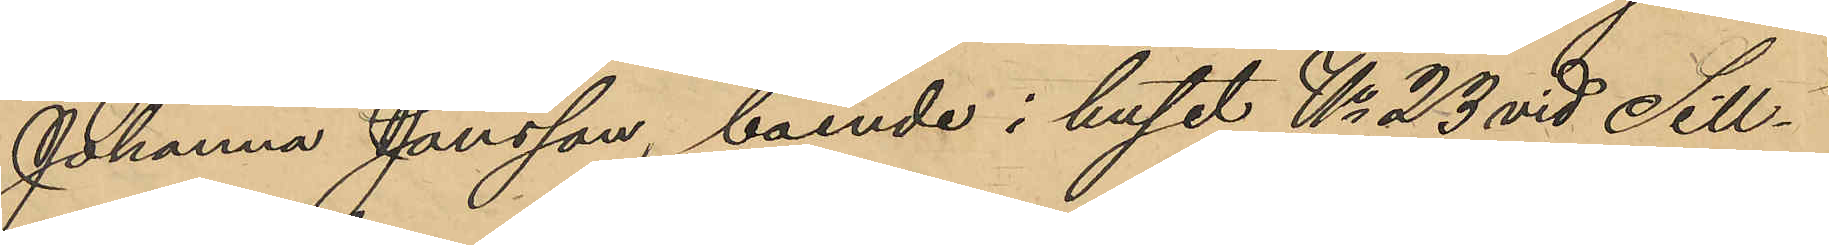Johanna Jansson, boende i huset No 23 vid Sill¬
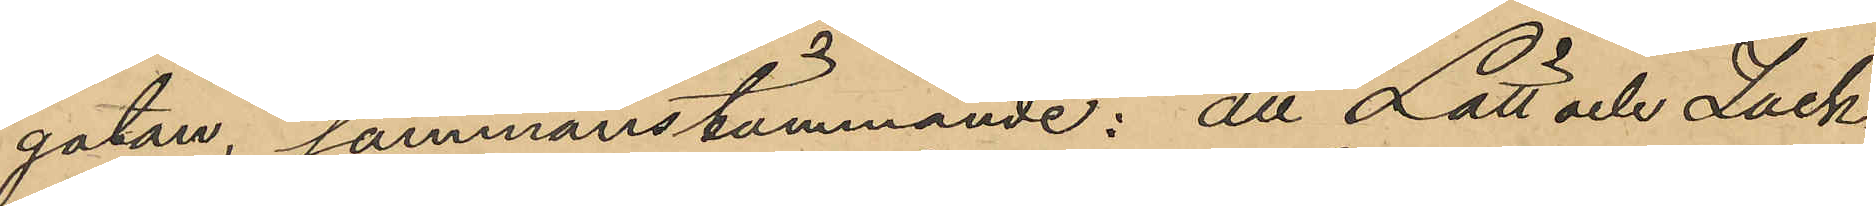gatan, sammanstämmande: att Lätt och Zach¬
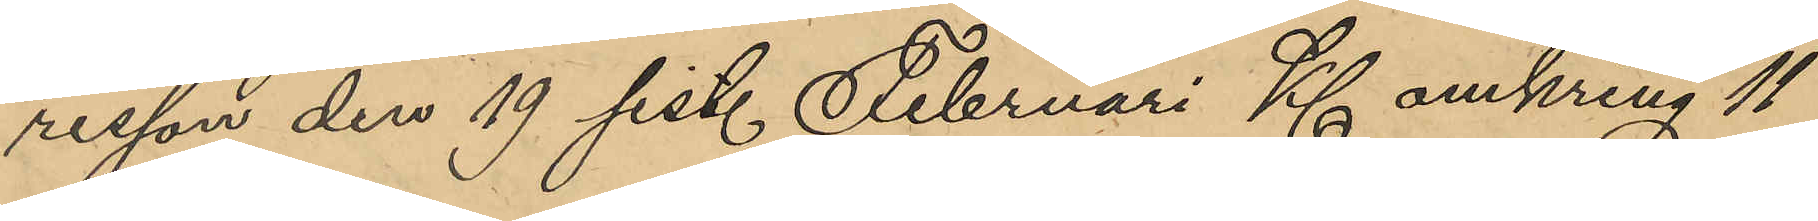risson den 19 sist. Februari Kl. omkring 11
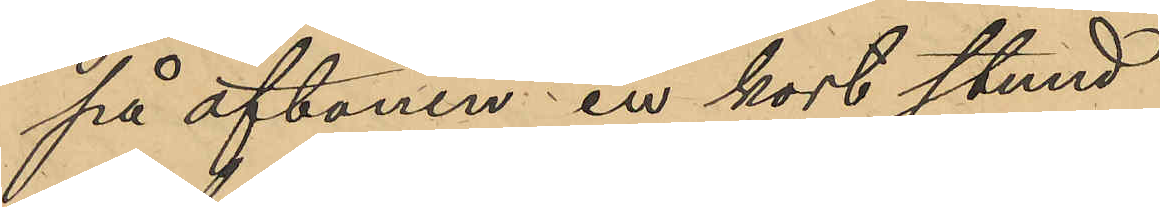på aftonen en kort stund
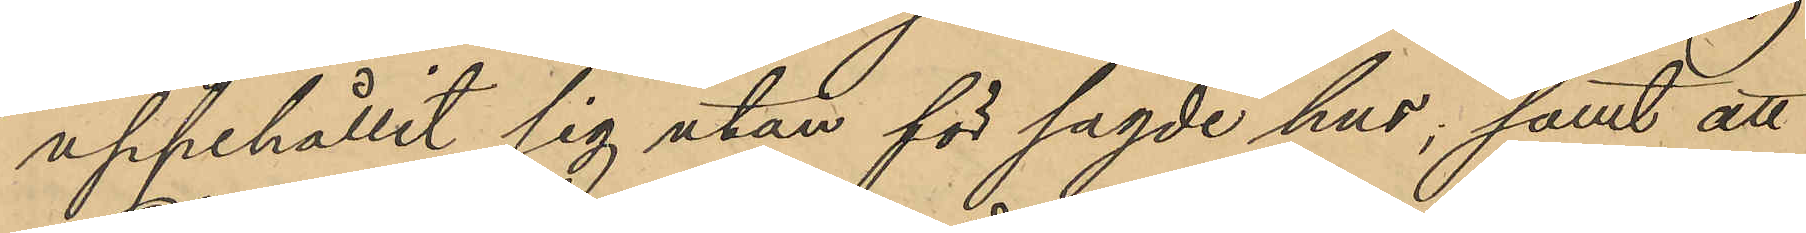uppehållit sig utan för sagde hus; samt att
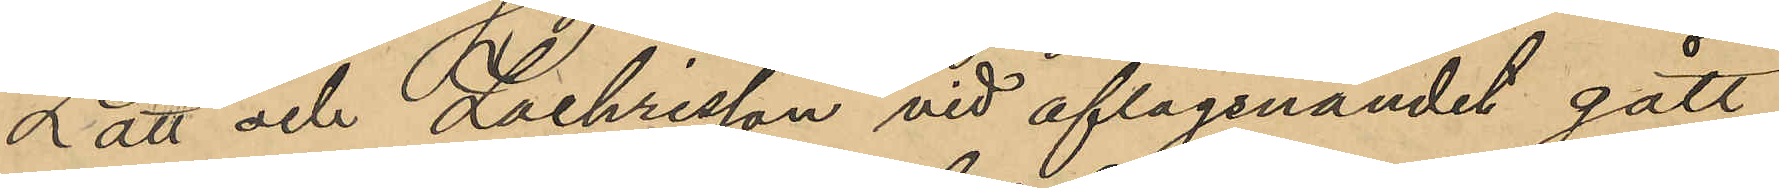Lätt och Zachrisson vid aflägsnandet gått
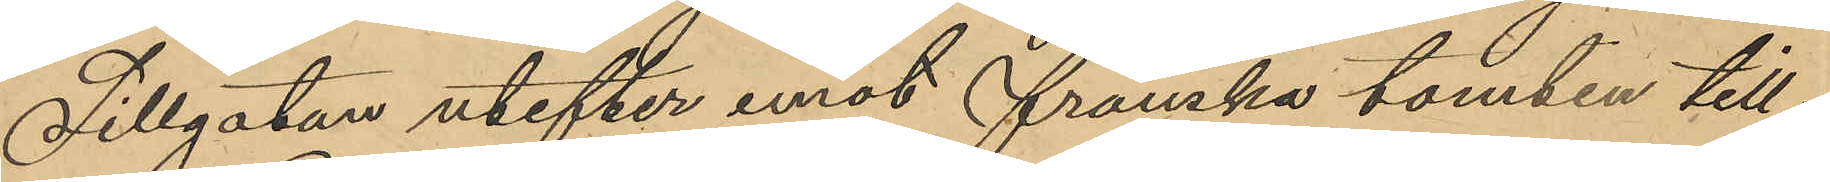Sillgatan utefter emot franska tomten till.
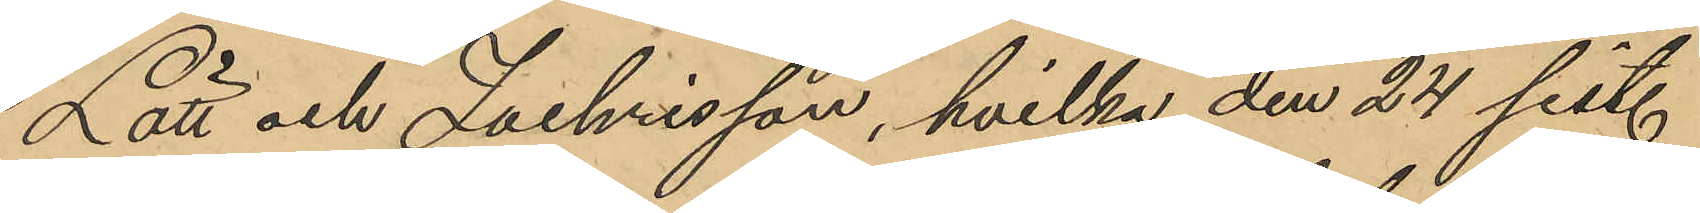Lätt och Zachrisson, hvilka den 24 sist.
